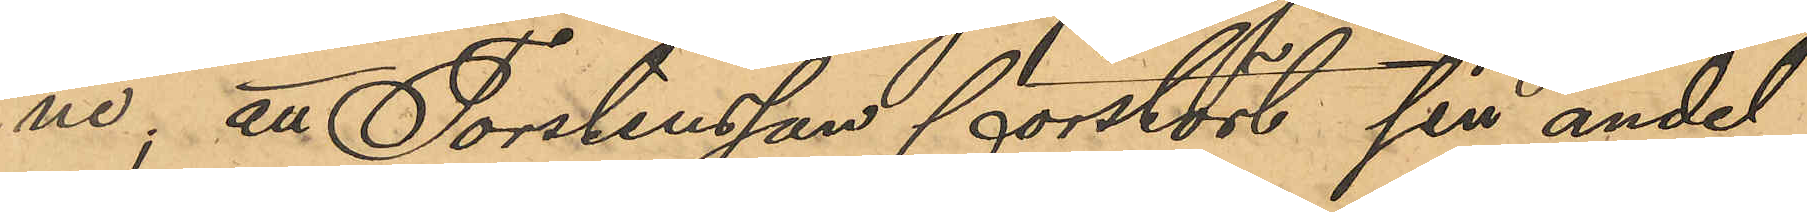ne; att Torstensson förstört sin andel
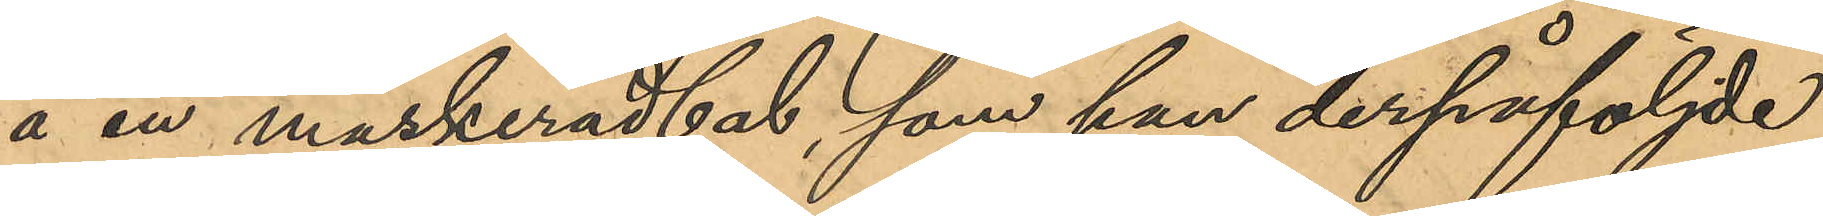å en maskeradbal, som han derpåföljde
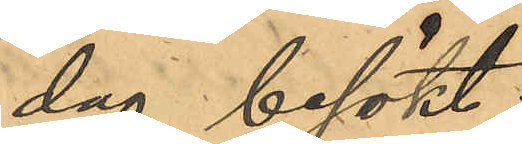dag besökt;
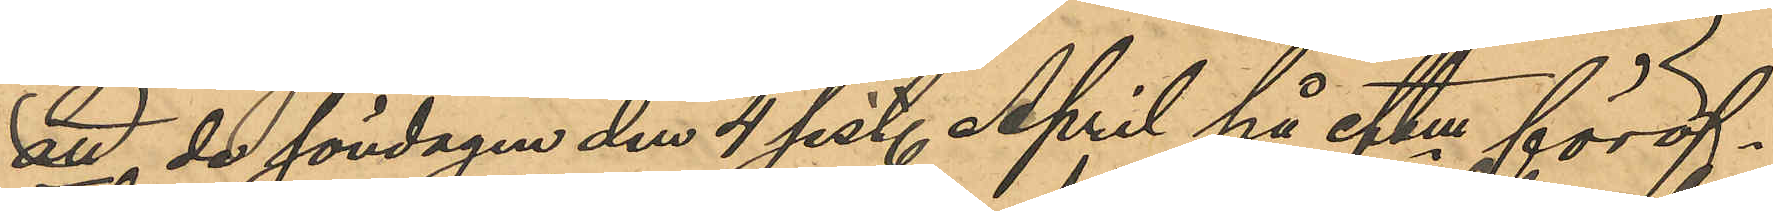att de söndagen den 4 sist. April på eftm föröf¬
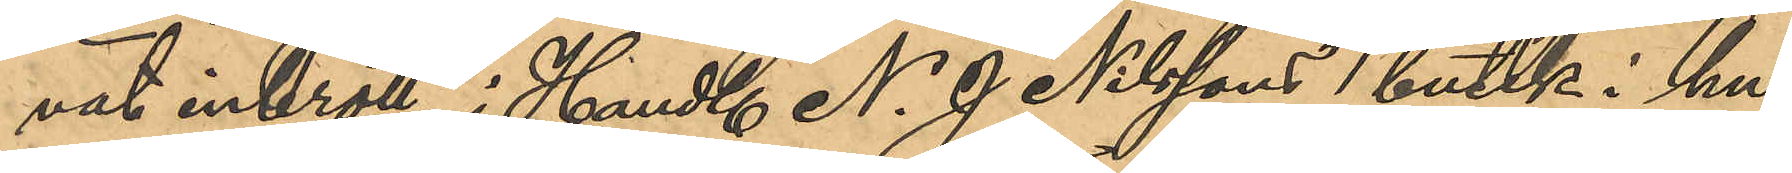vat inbrott i Handl. N. J Nilssons butik i hu¬
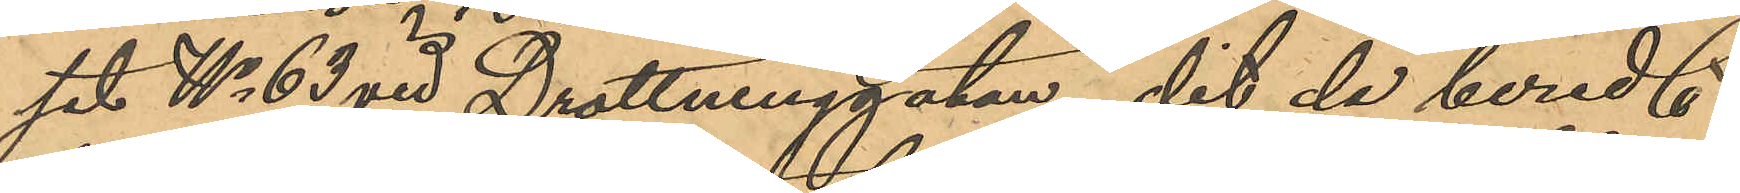set No 63 vid Drottninggatan, dit de beredt
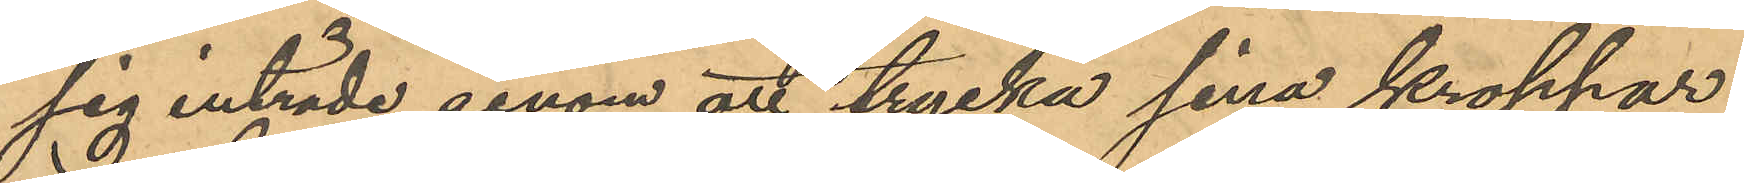sig inträde genom att trycka sina kroppar
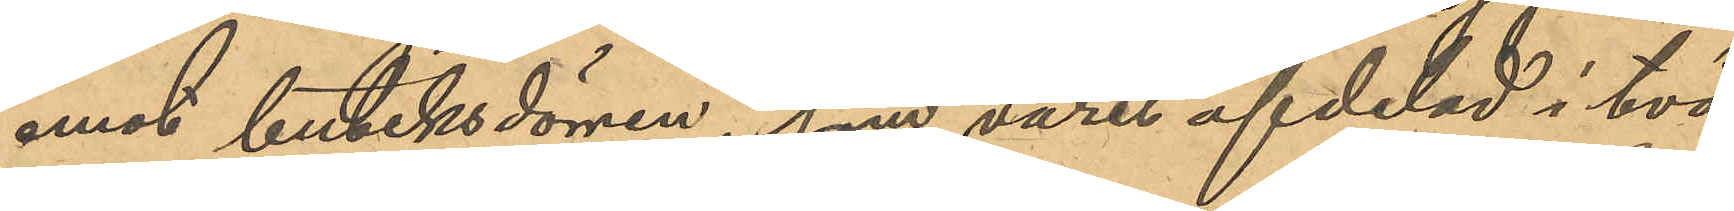emot butiksdörren, som varit afdelad i två
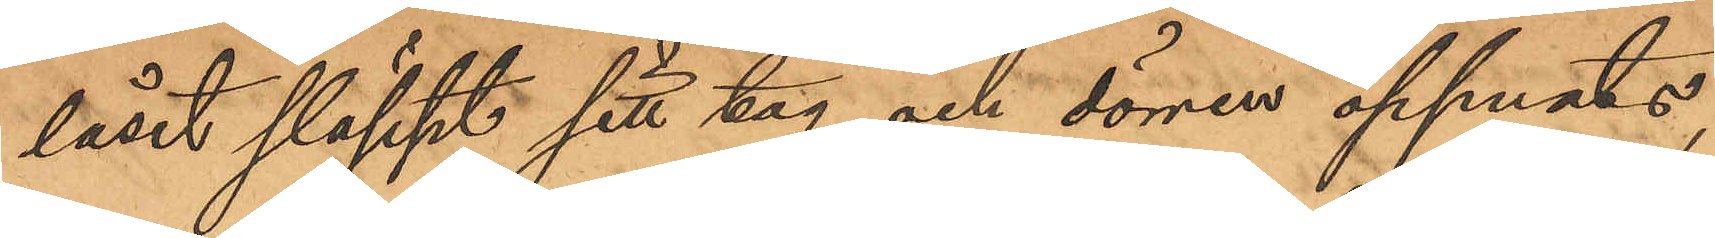låset släppt sitt tag och dörren öppnats,
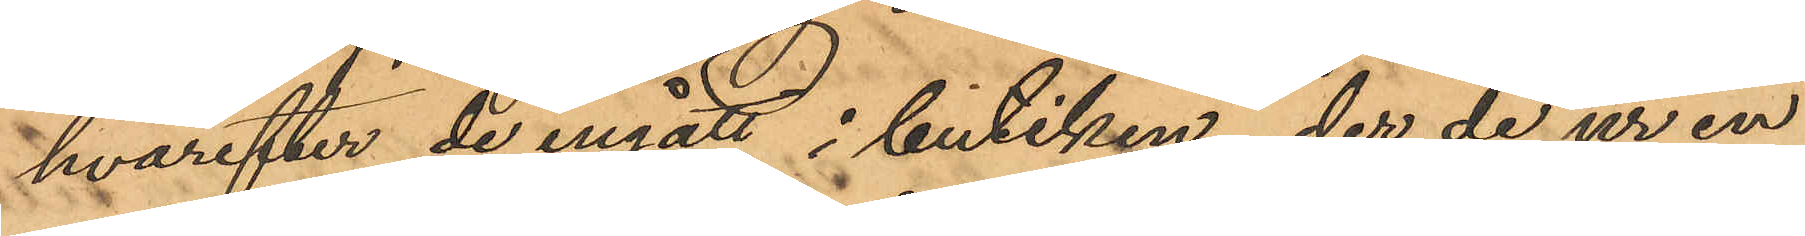hvarefter de ingått i butiken, der de ur en
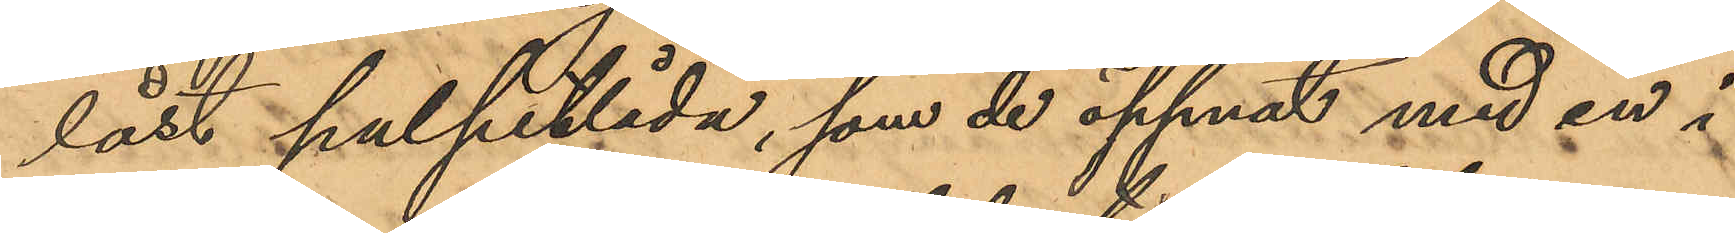låst pulpetlåda, som de öppnat med en i
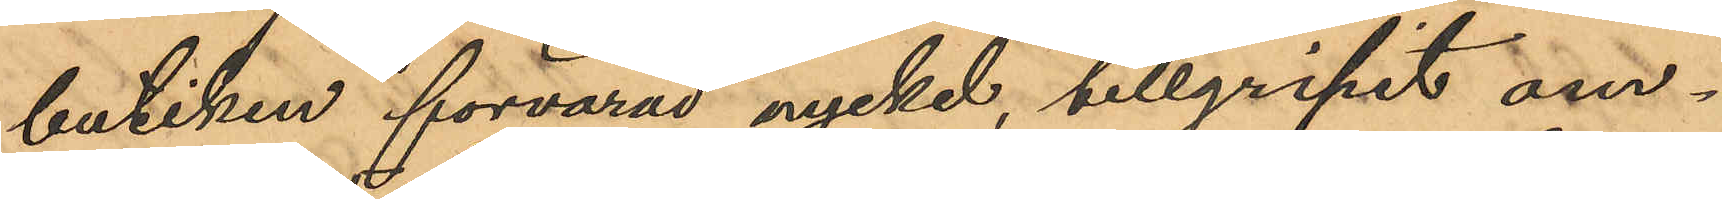butiken förvarad nyckel, tillgripit om¬
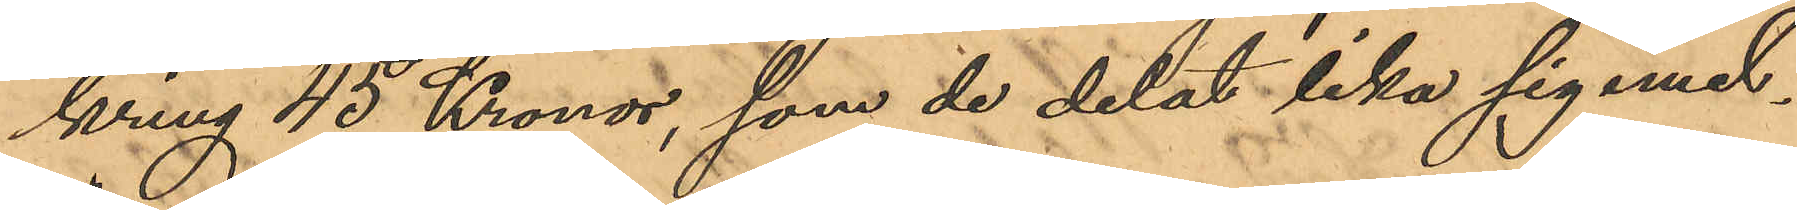kring 45 Kronor, som de delat lika sig emel¬
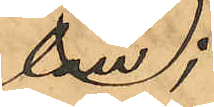lan;
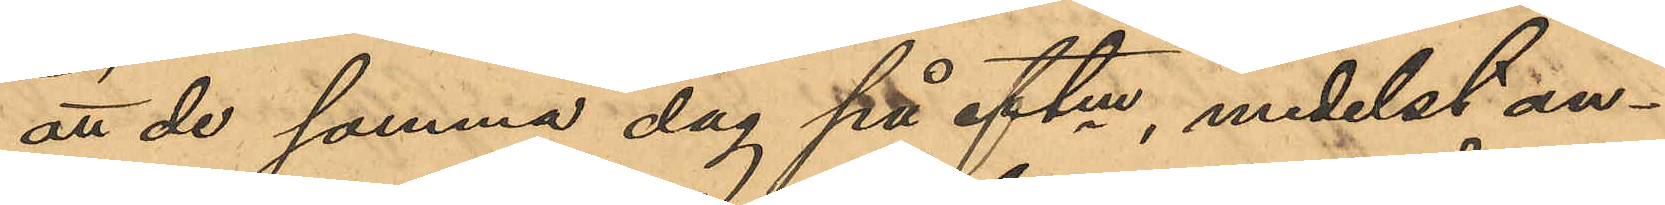att de samma dag på eftm, medelst an¬
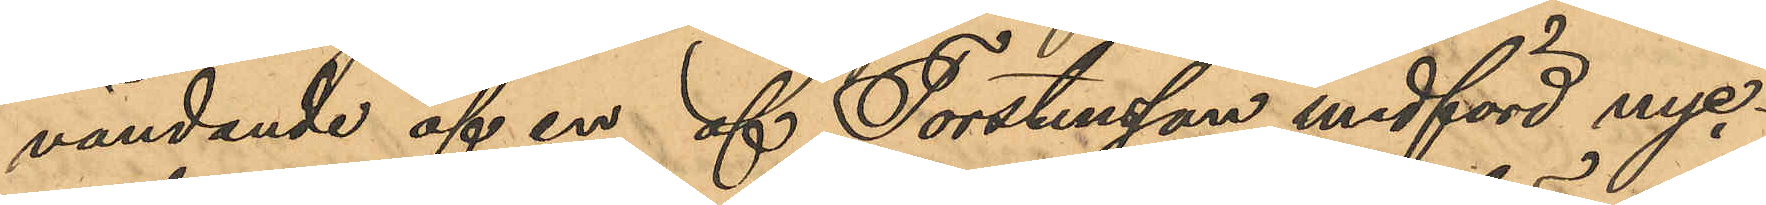vändande af en af Torstensson medförd nyc¬
